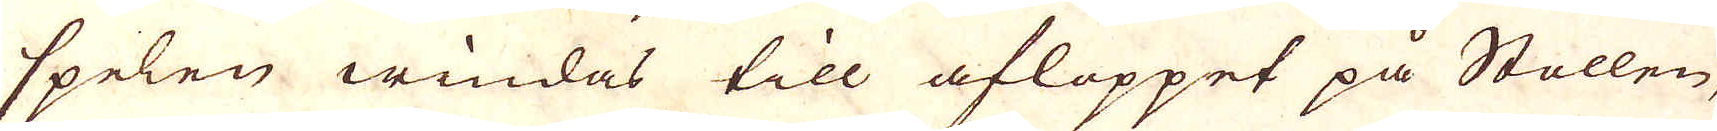spelen windas till afloppet på Stollen,
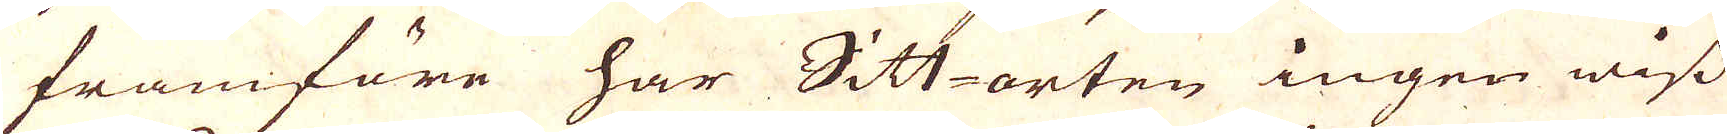framföre har Sitt orten ingen wiss
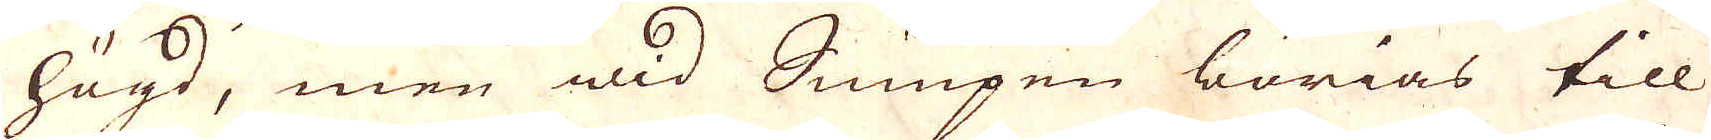högd, men wid Sumpen börias till
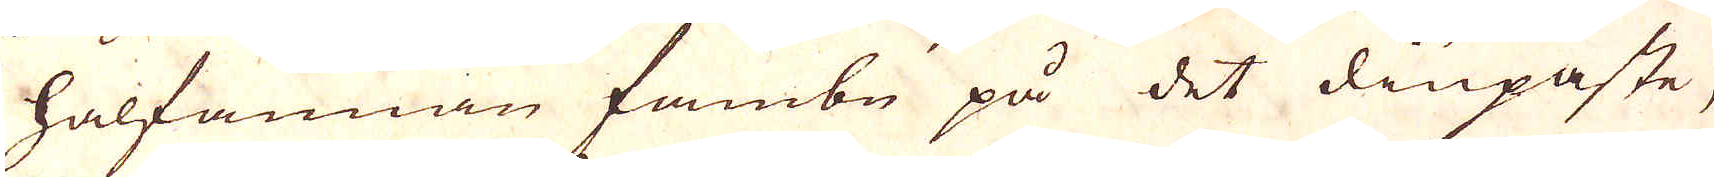halfannan fambn på det diupaste,
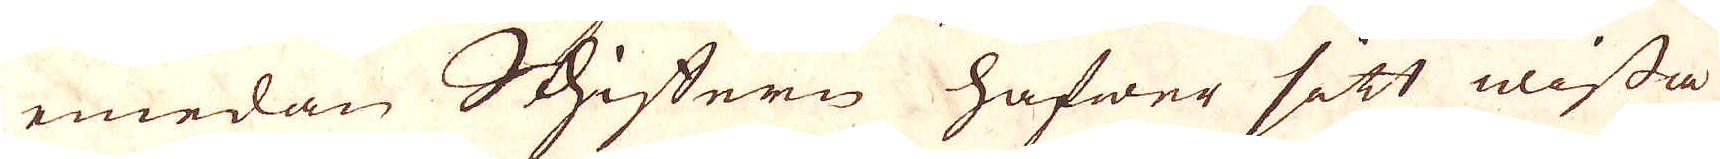emedan Schiffern hafwer sitt wissa
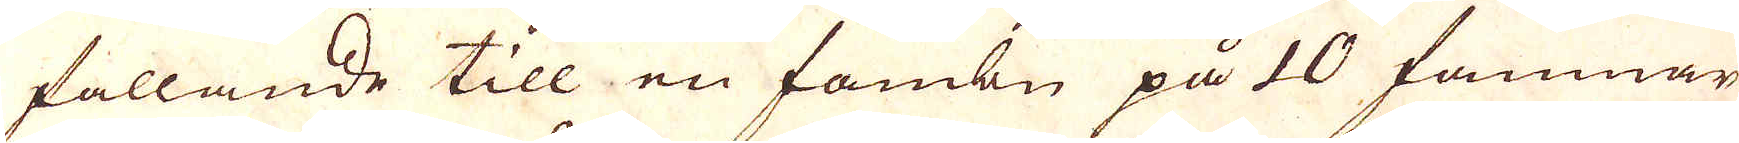fallande till en fambn på 10 famnar
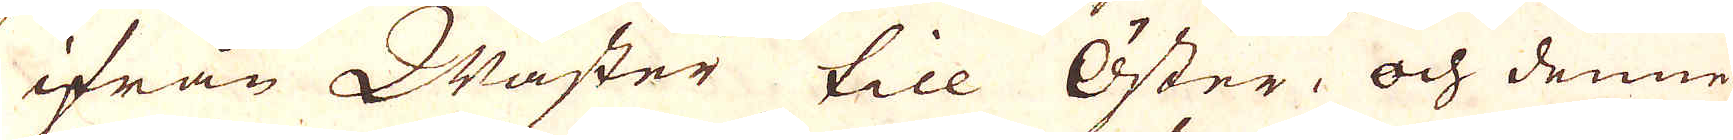ifrån Wäster till Öster, och denne
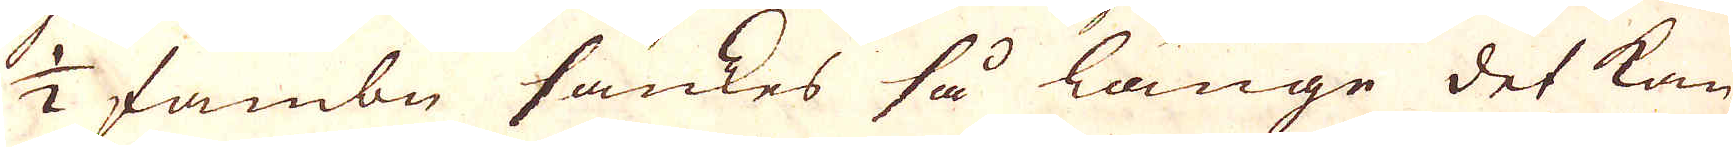1/2 fambn sänkes så länge det kan
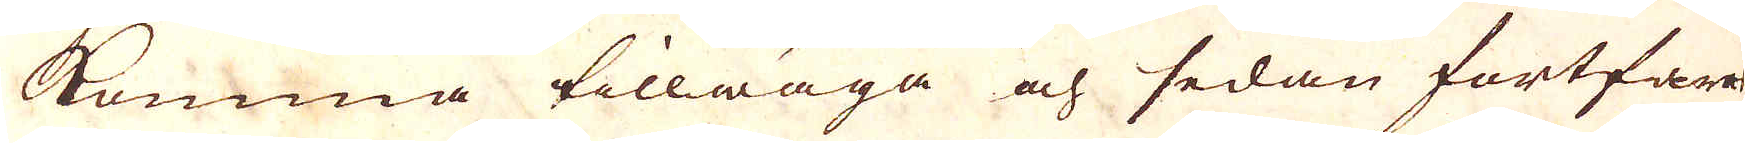komma tillwäga och sedan fortfara
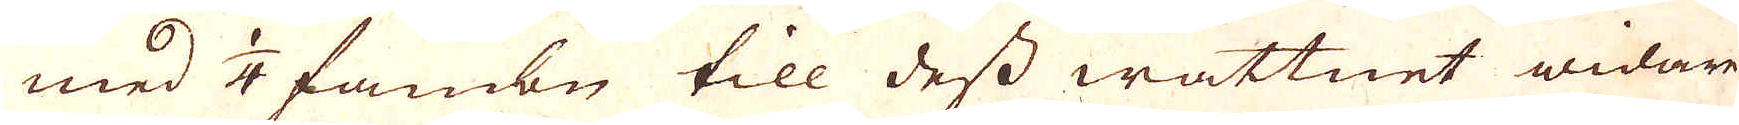med 1/4 fambn till dess wattnet widare
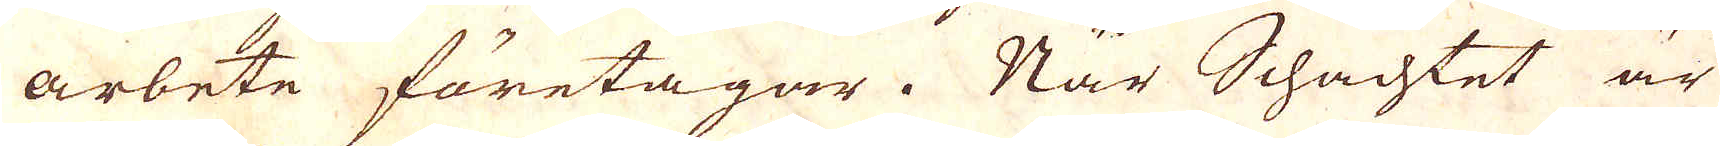arbete företagar. När Schachtet är
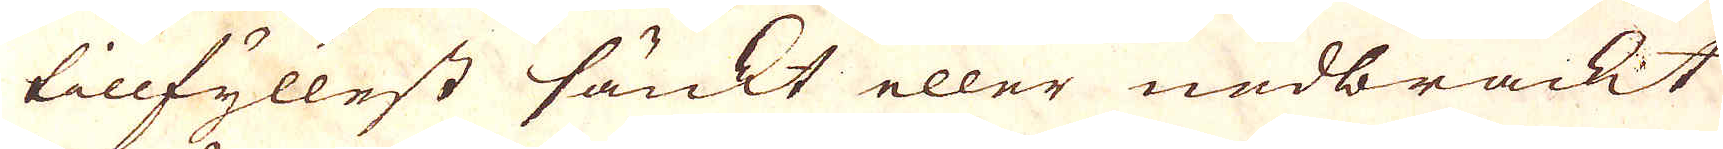tillfyllest sänkt eller nedbrackt
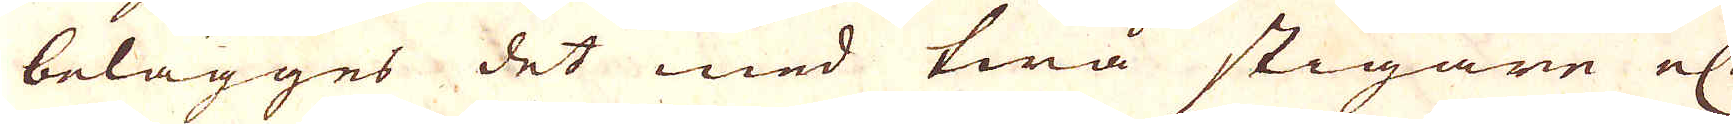belägges det med twå stigane el:
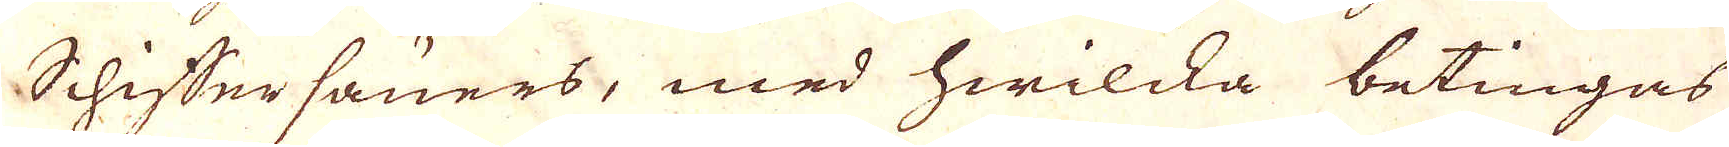Schiffersäners, med hwilcka betingas
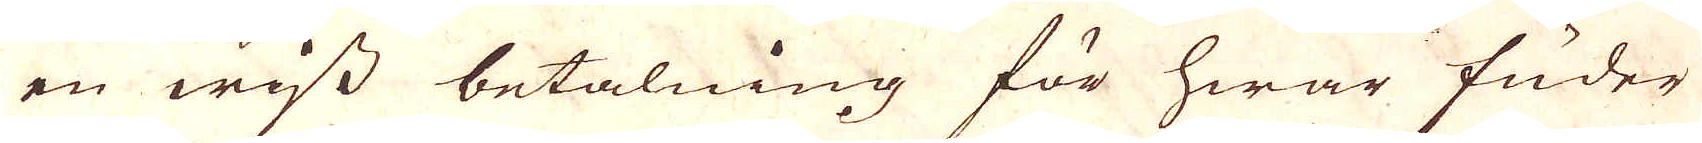en wiss betalning för hwar fuder
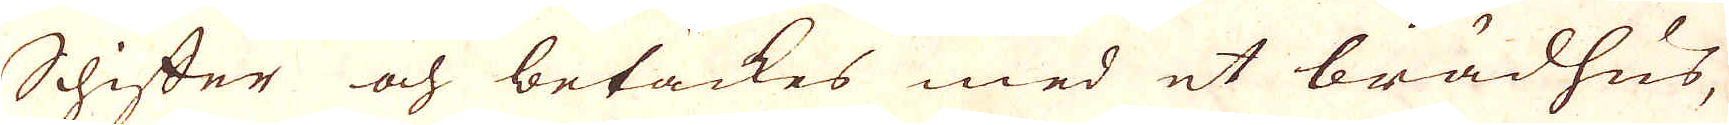Schiffer och betäckes med et brädhus,
